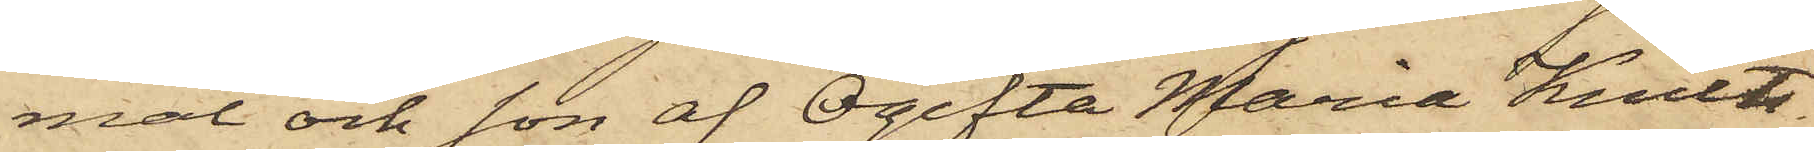mål och son af Ogifta Maria Knuts¬
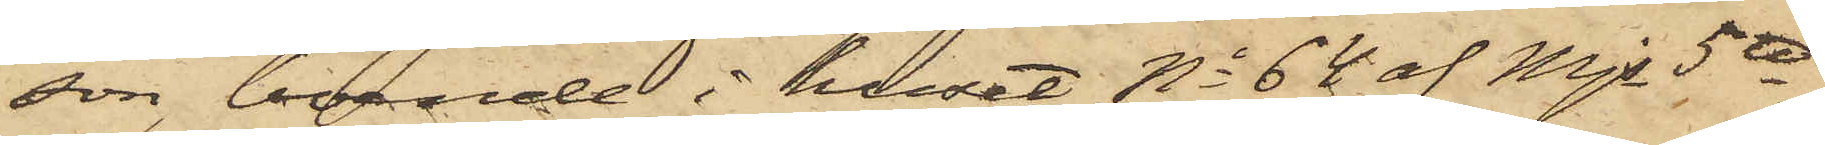son, boende i huset No 64 af Mjs 5te
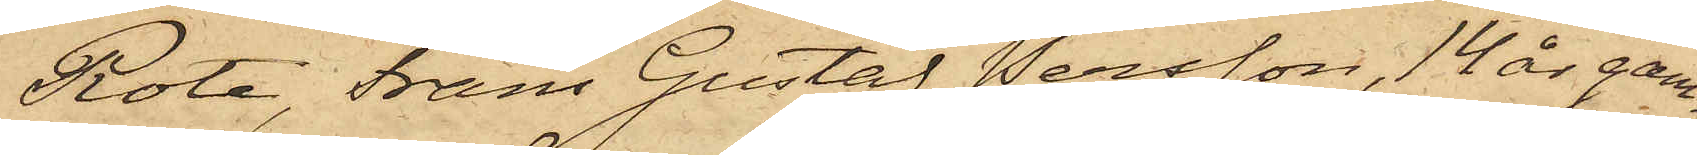Rote, Frans Gustaf Persson, 14 år gam¬
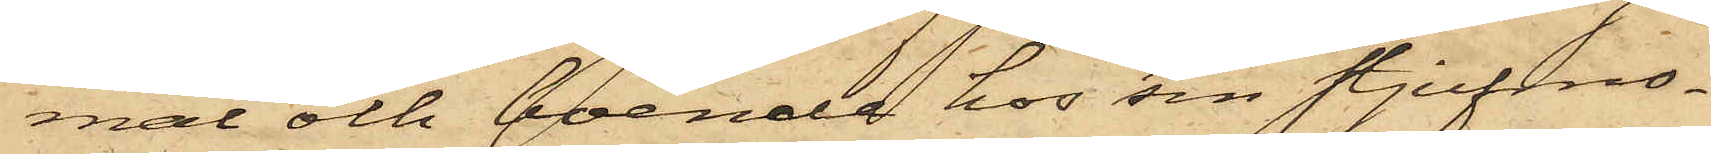mal och boende hos sin stjufmo¬
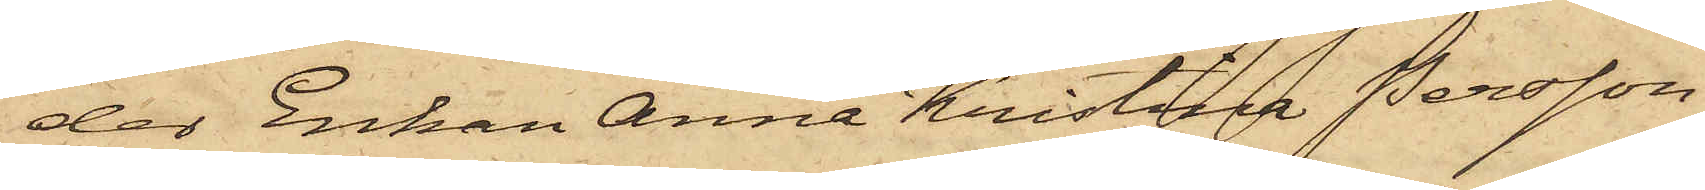der Enkan Anna Kristina Persson
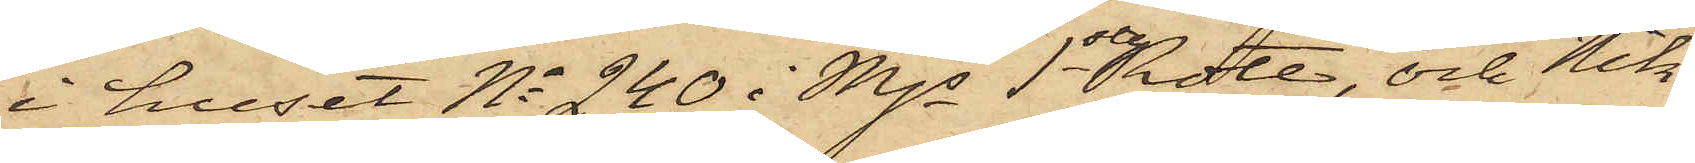i huset No 240 i Mjsta 1 Rote, och Nik¬
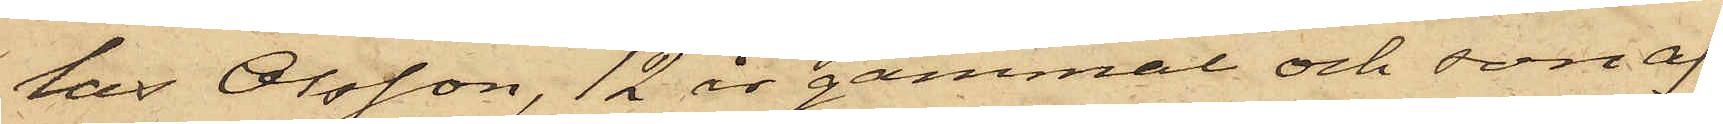las Olsson, 12 år gammal och son af
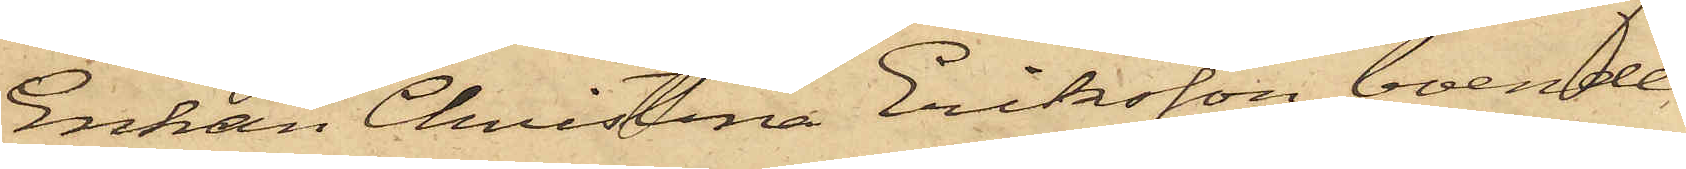Enkan Christina Eriksson, boende
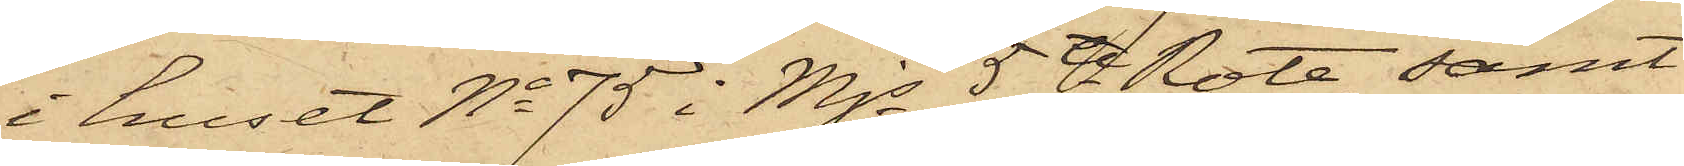i huset No 75 i Mjs 5te Rote, samt
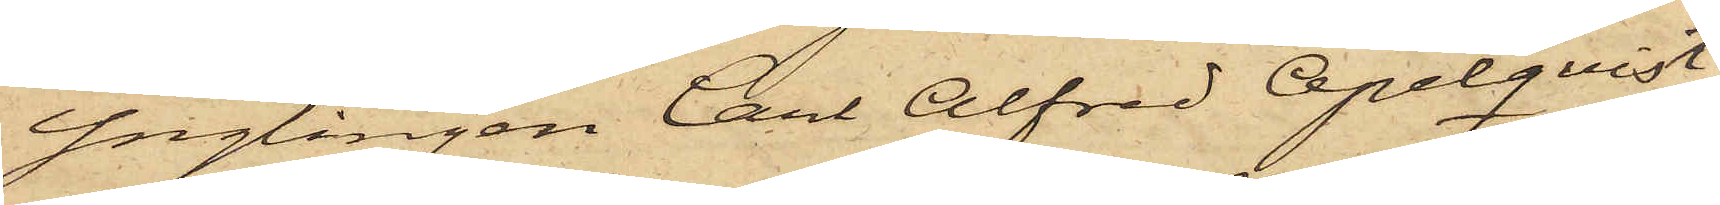Ynglingen Carl Alfred Apelqvist,
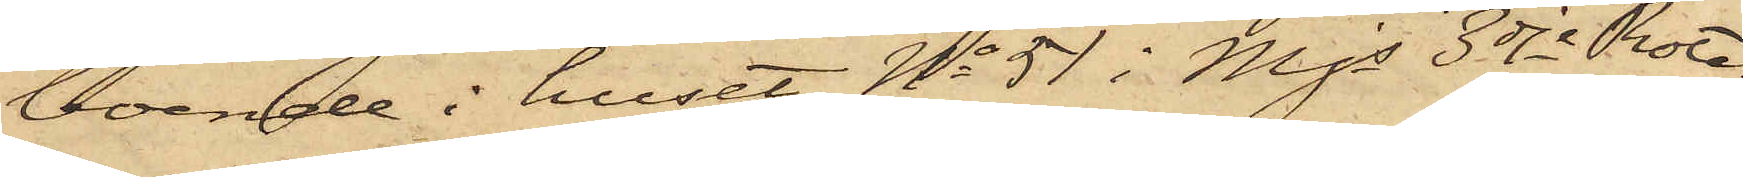boende i huset No 51 i Mjs 3dje Rote.
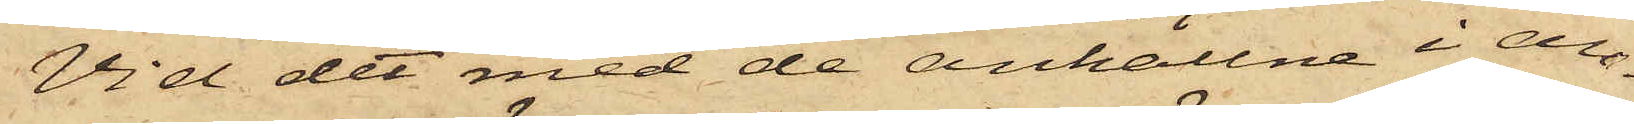Vid det med de anhållne i an¬
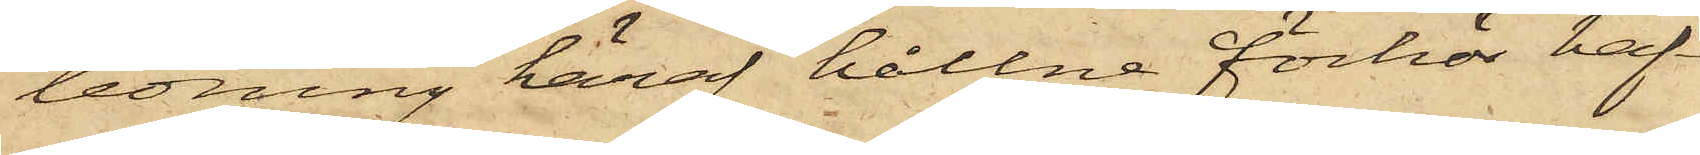ledning häraf hållna förhör haf¬
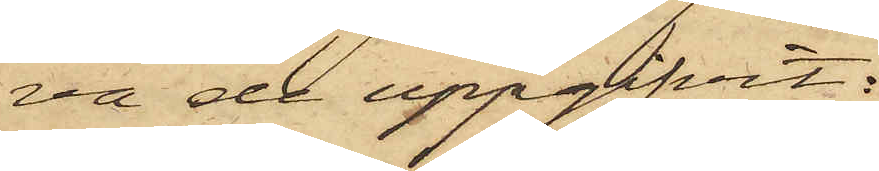va de uppgifvit:
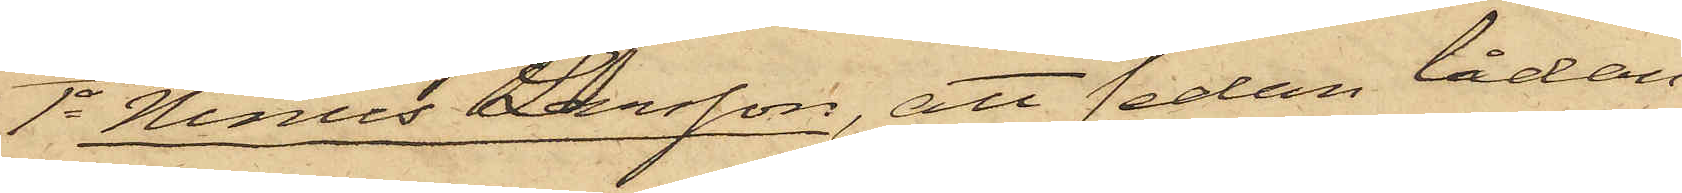1o Ninus Larsson, att sedan lådan
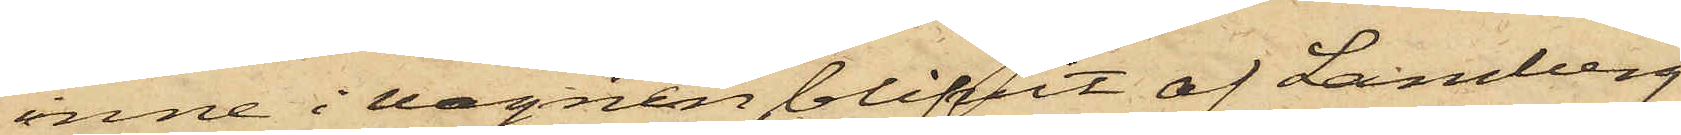inne i vagnen blifvit af Lamberg
